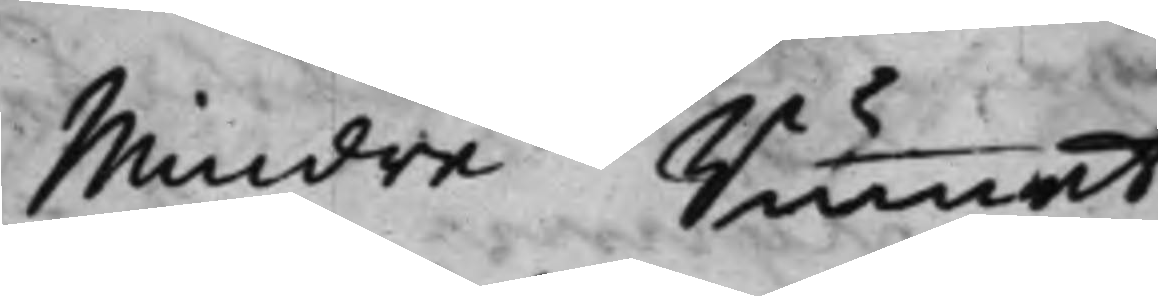Mindre Rummet.
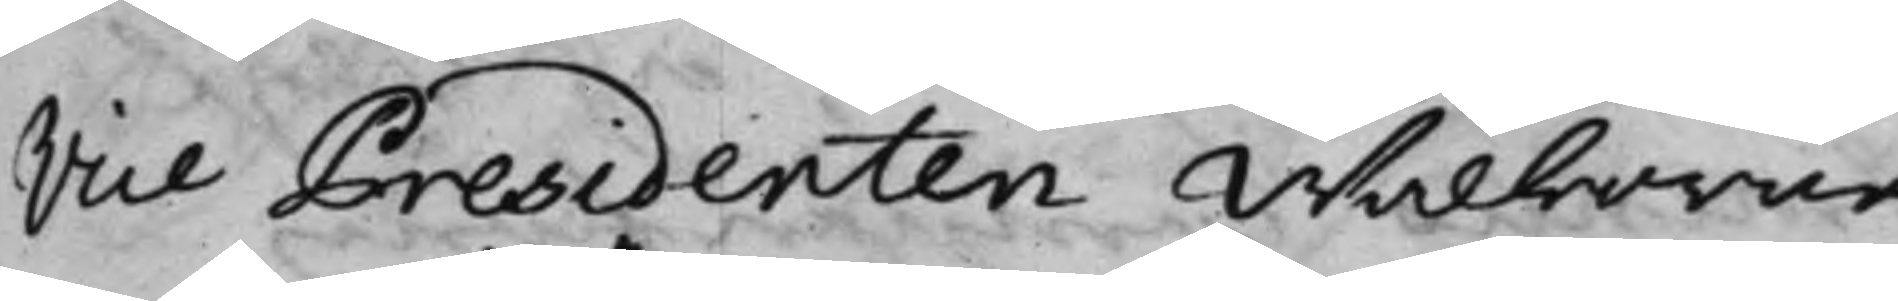Vice Presidenten Wälborne
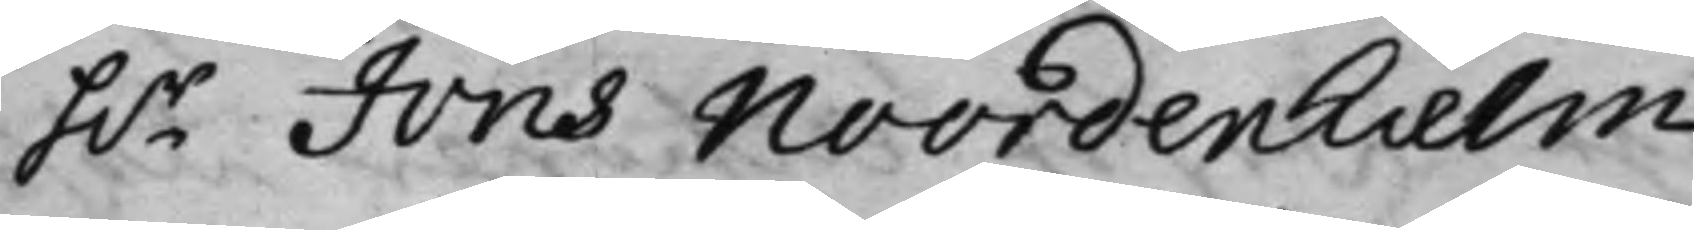h.r Jöns Noordenhielm.
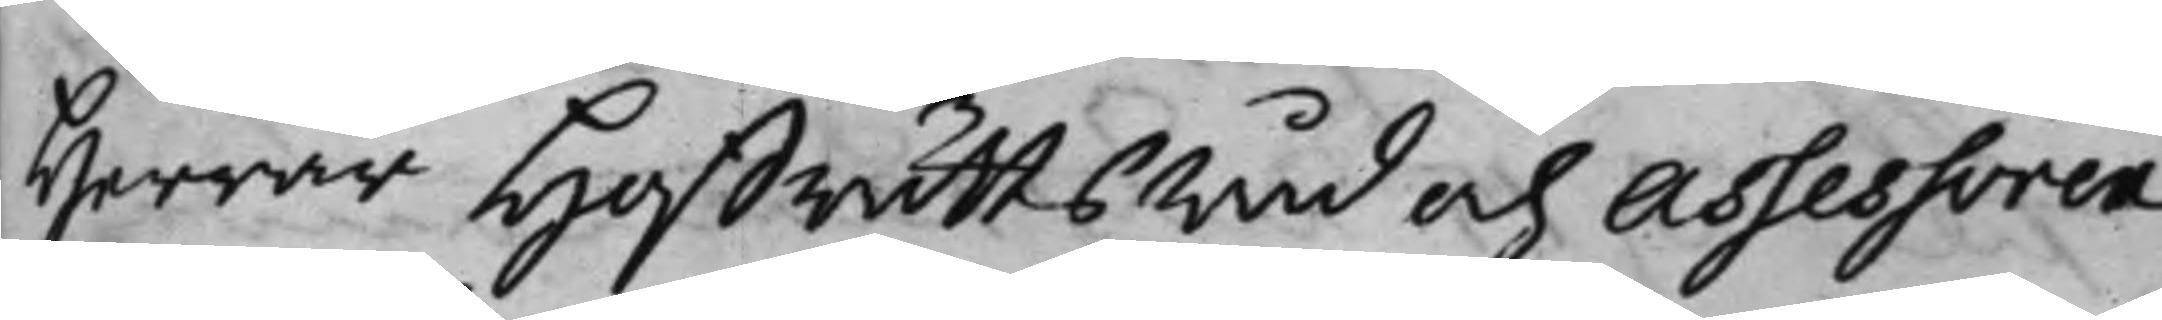Herrar HoffrättsRåd och Assessorer
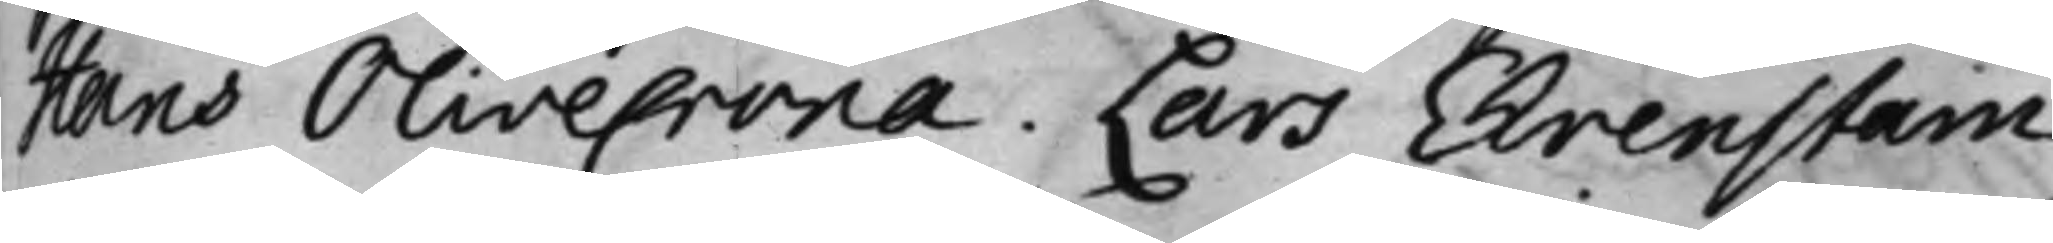Hans Olivecrona. Lars Ehrenstam.
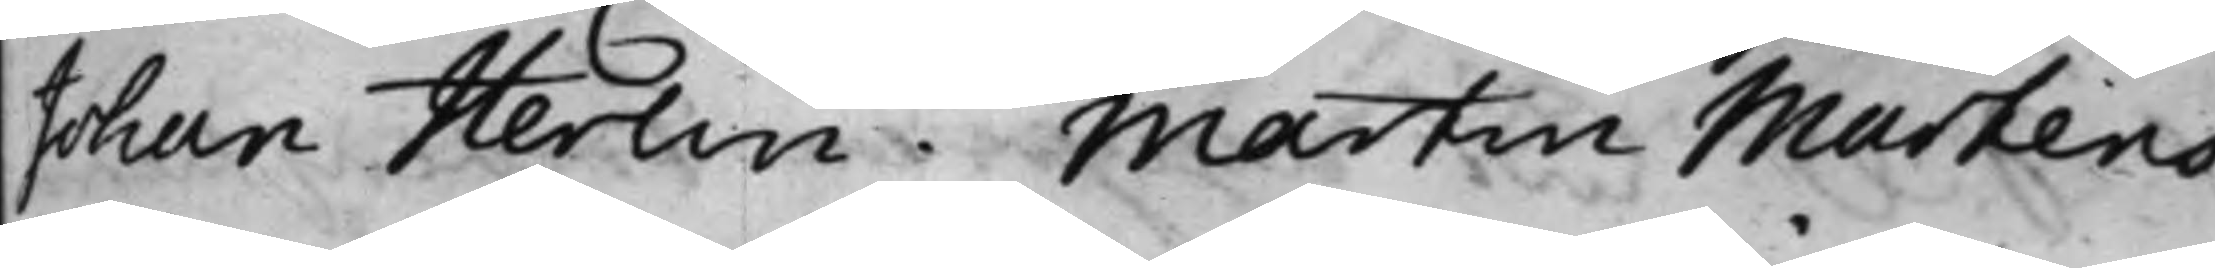Johan Herlin. Martin Martens.
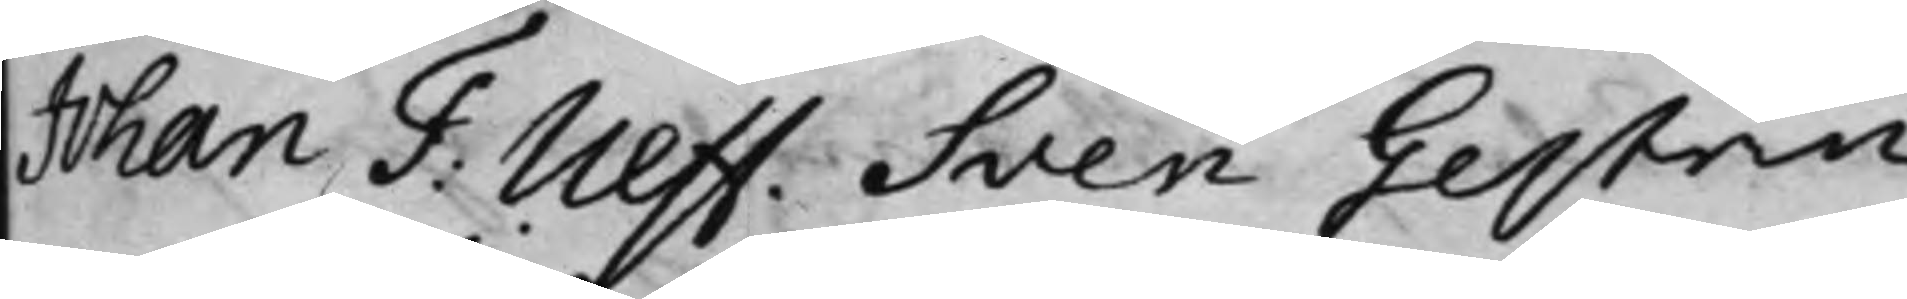Johan F: Ulff. Sven Gestrin.
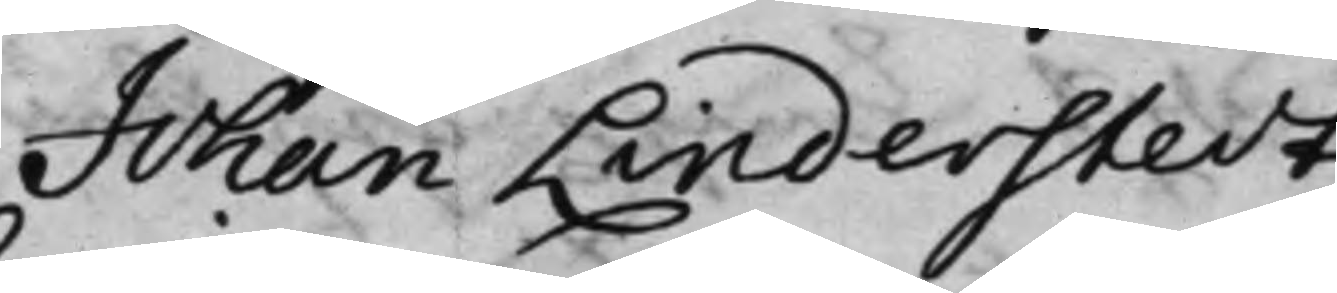Johan Linderstedt.
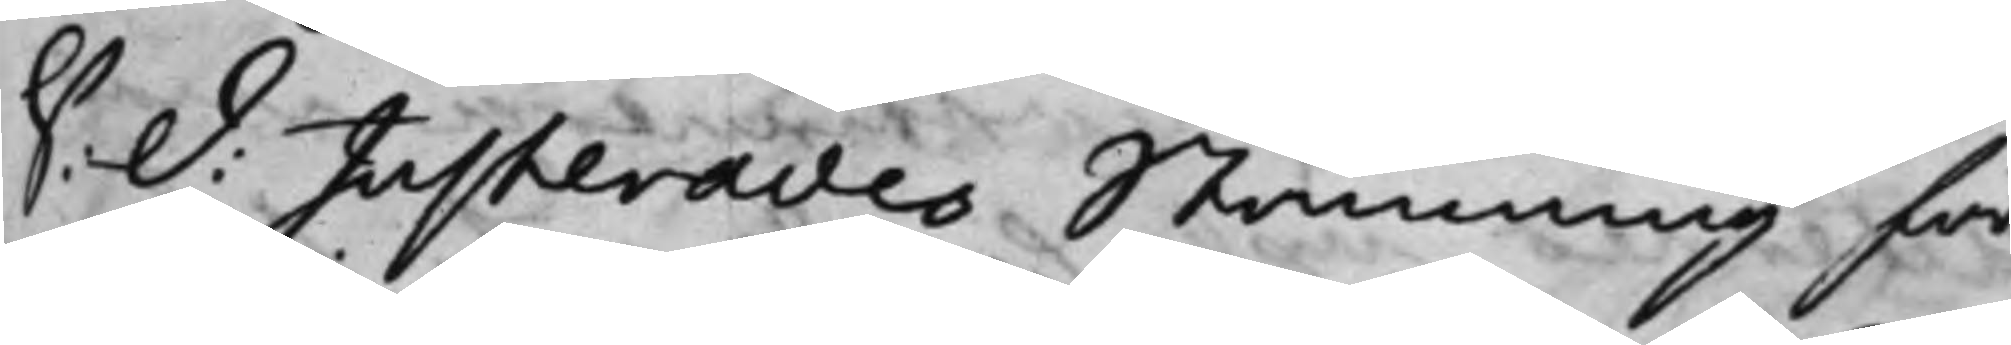S: d: Justerades Stämning för
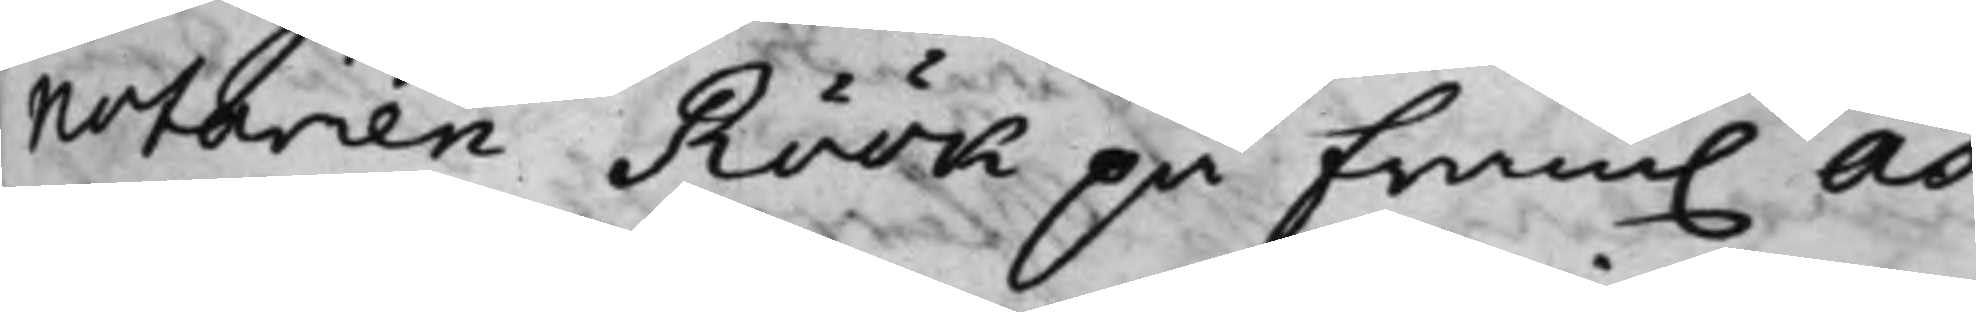notarien Röök på fram. As¬
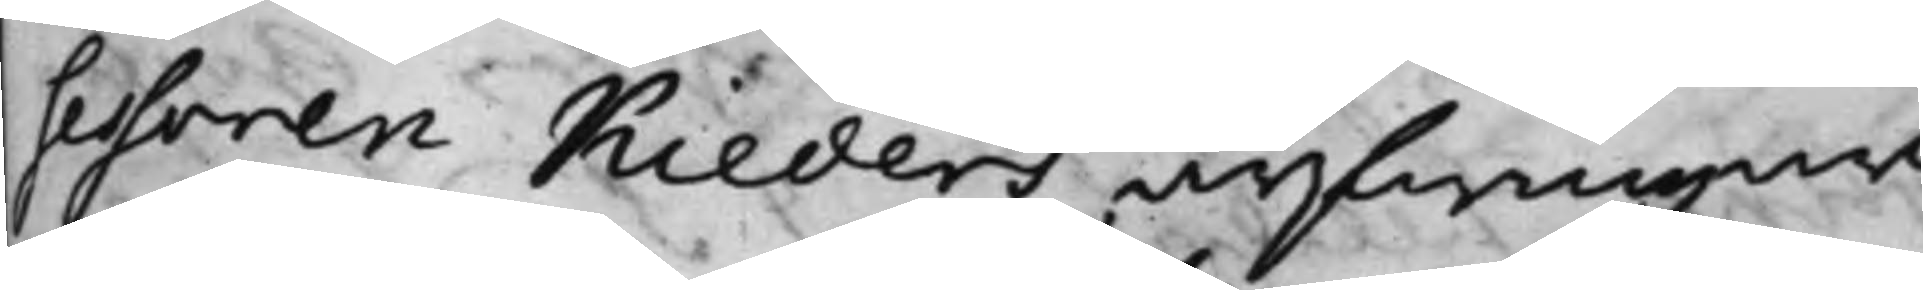sessoren Kieders arfwingar,
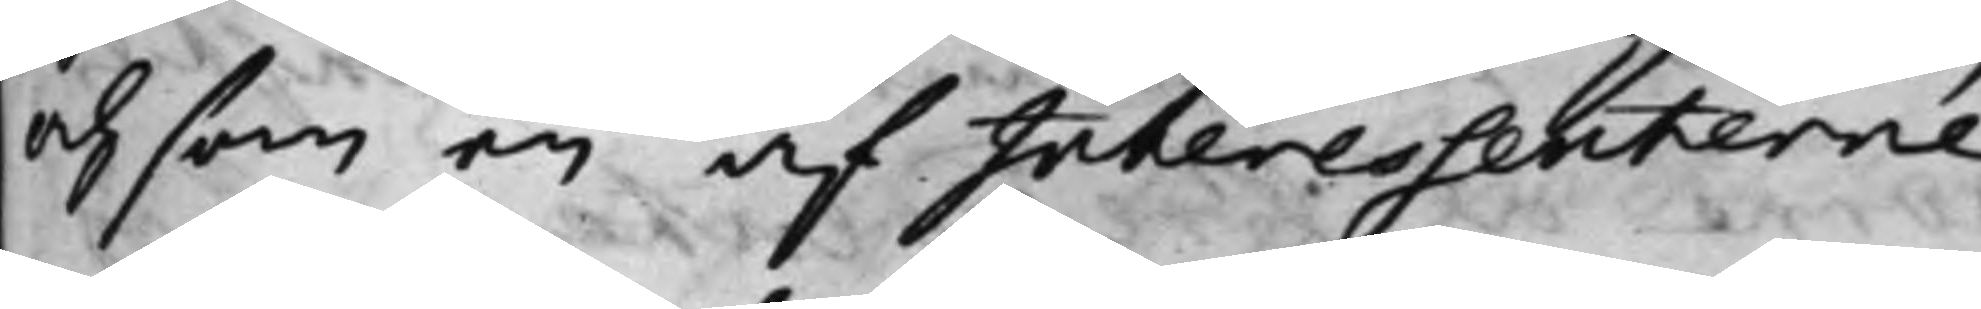och som en af Interessenterne
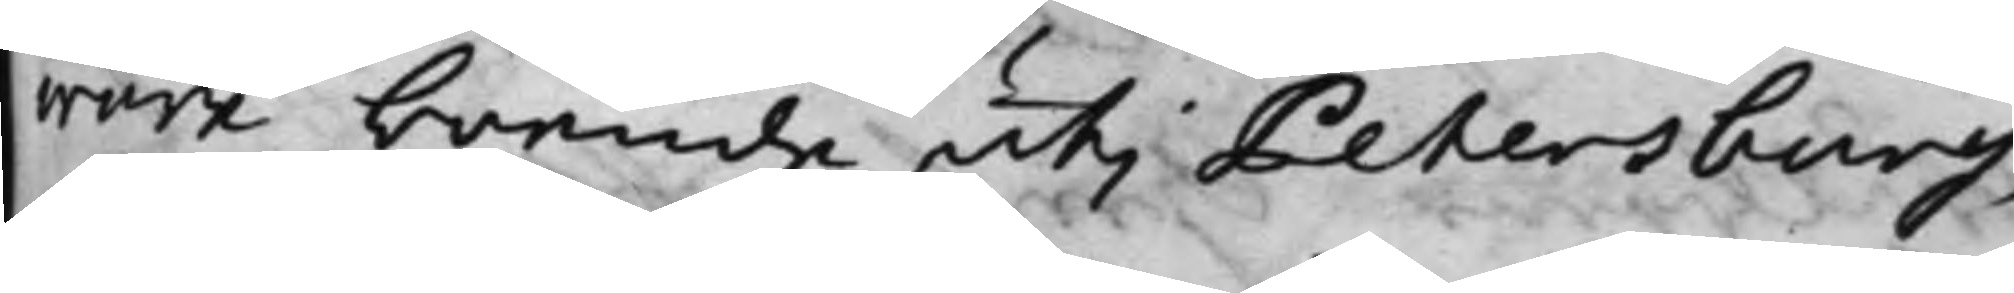wore boende uti Petersburg,
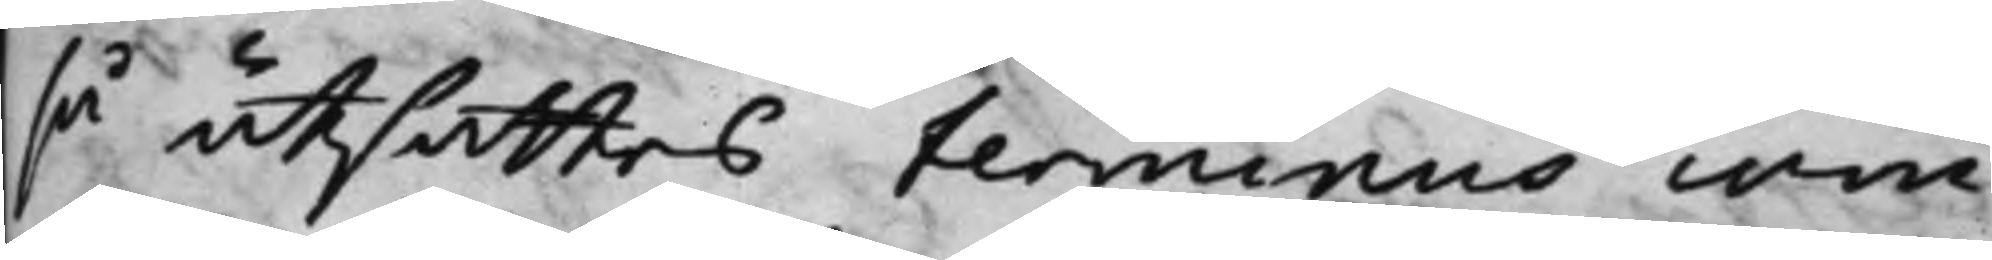så utsattes terminus com¬
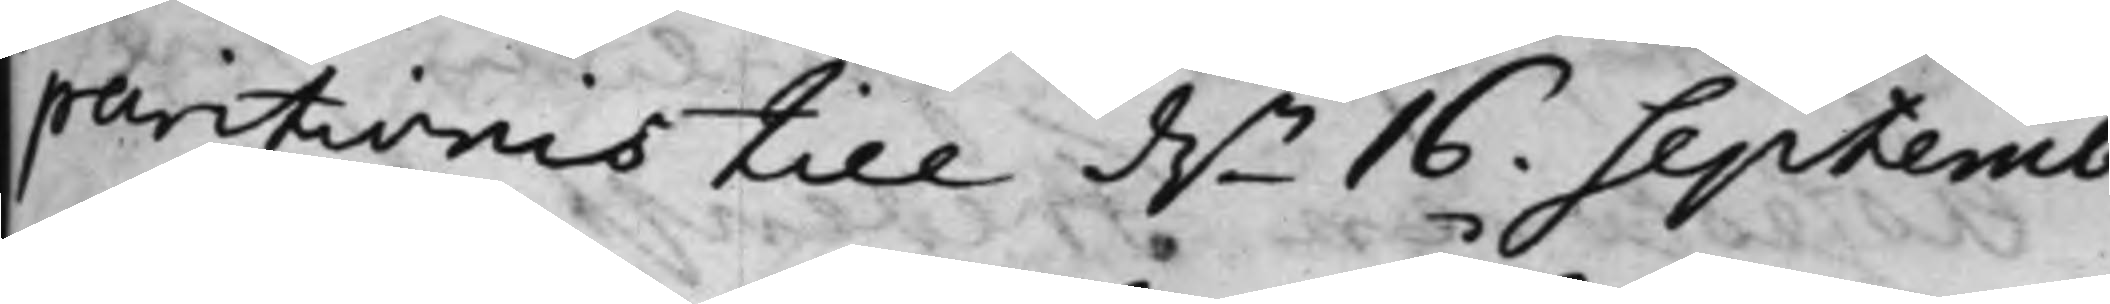paritionis till d.n 16. Septemb:
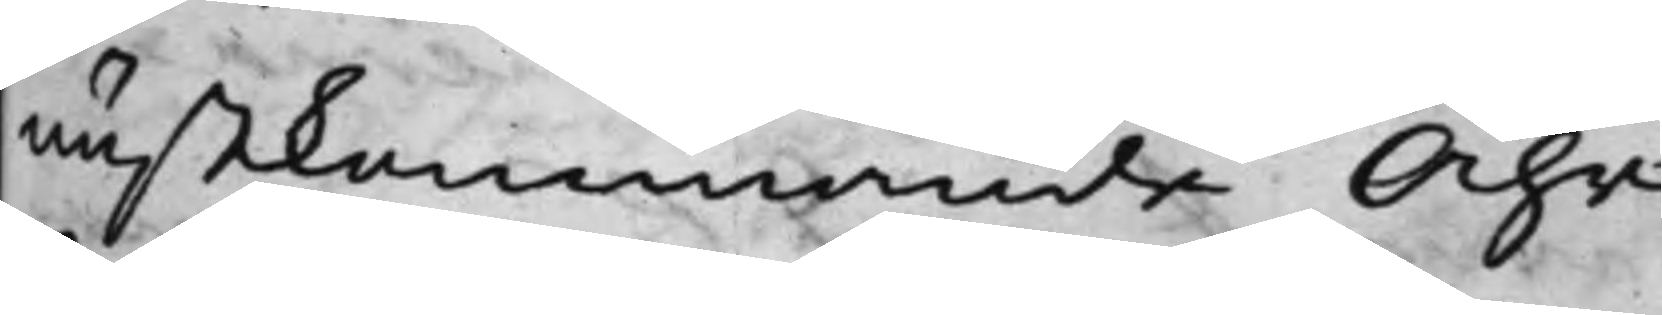nästkommande Åhr.
